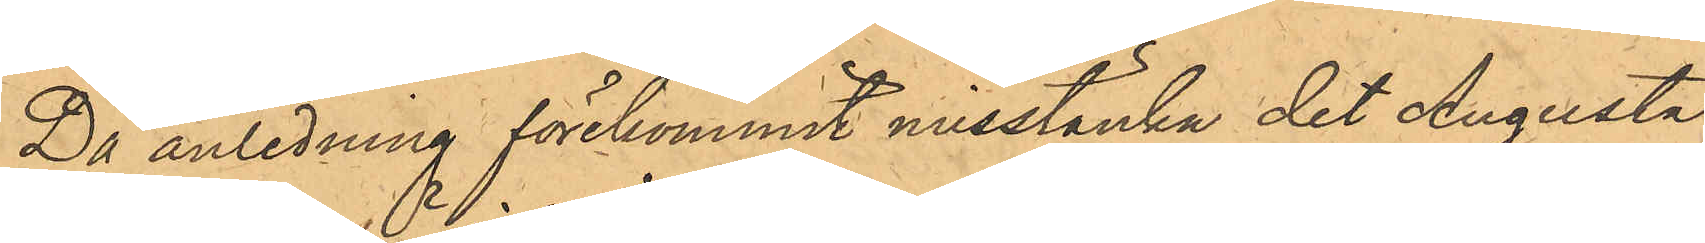Då anledning förekommit misstänka det Augusta
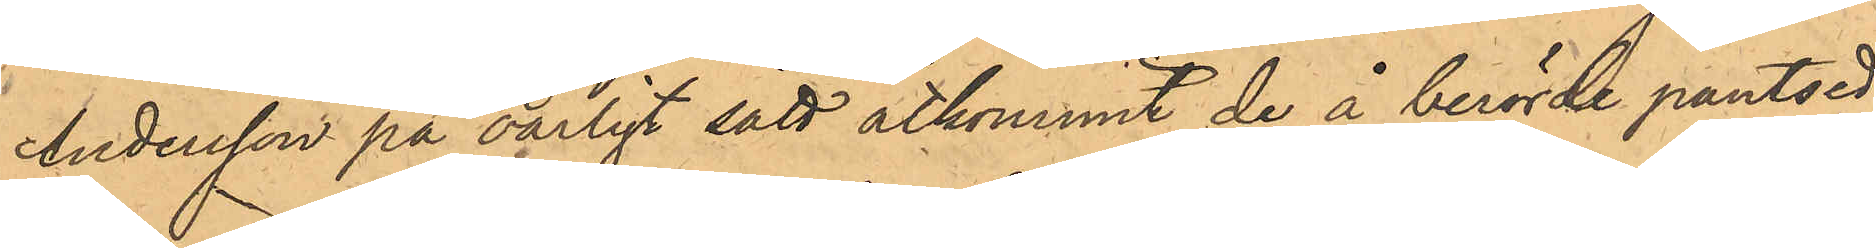Andersson på oärligt sätt åtkommit de å berörde pantse¬
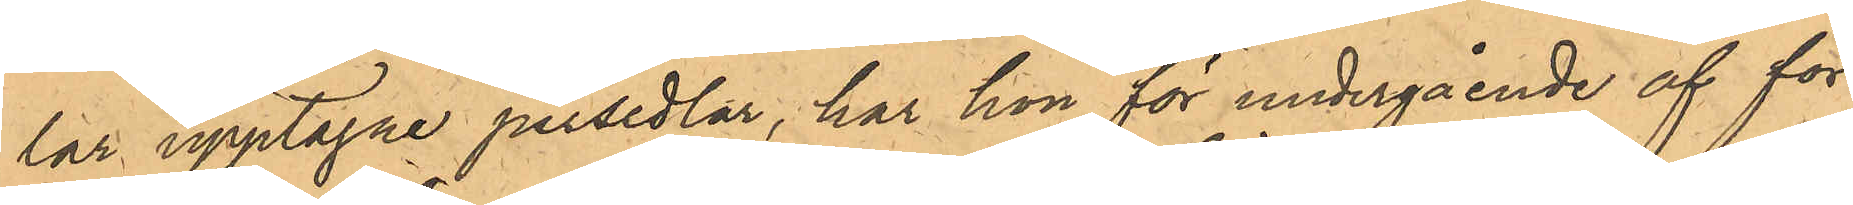lar upptagne persedlar, har hon för undergående af för¬
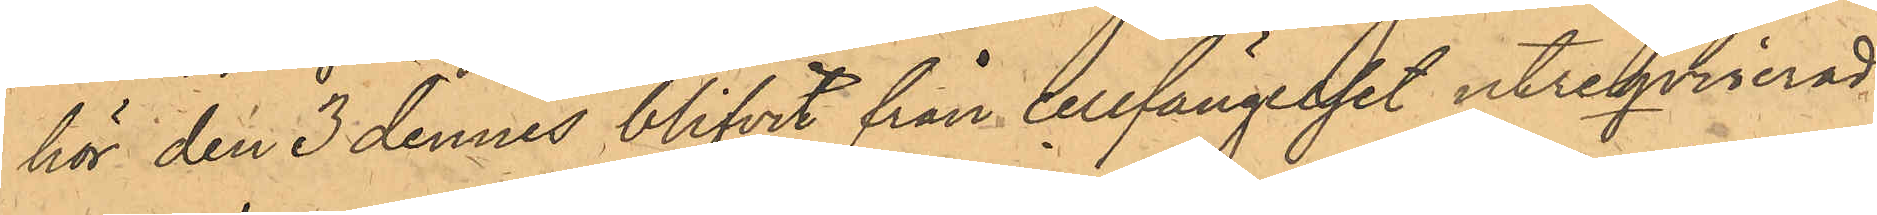hör den 3 dennes blifvit från cellfängelset utreqvirerad
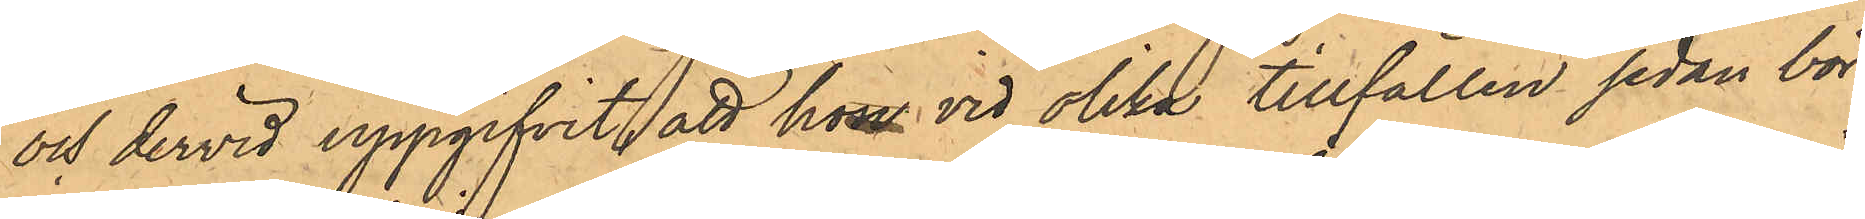och dervid uppgifvit att hon vid olika tillfällen sedan bör¬
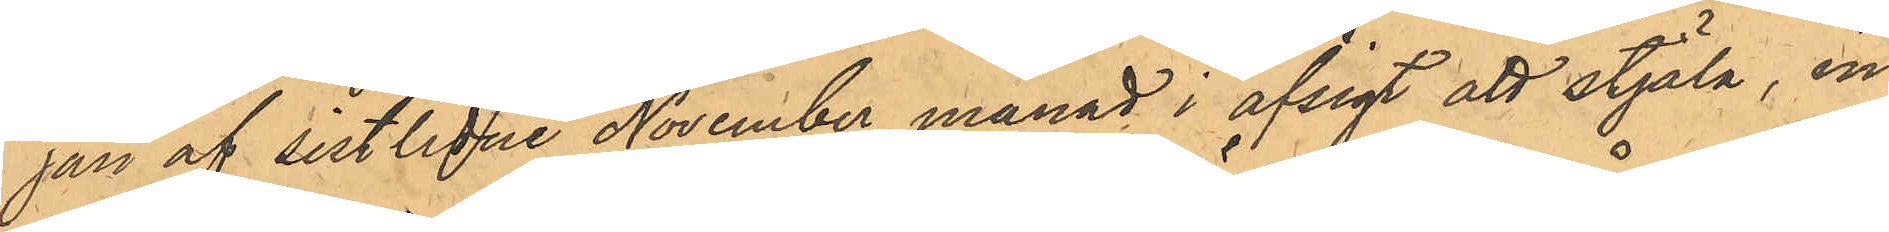jan av sistlidne November månad i afsigt att stjäla, in¬
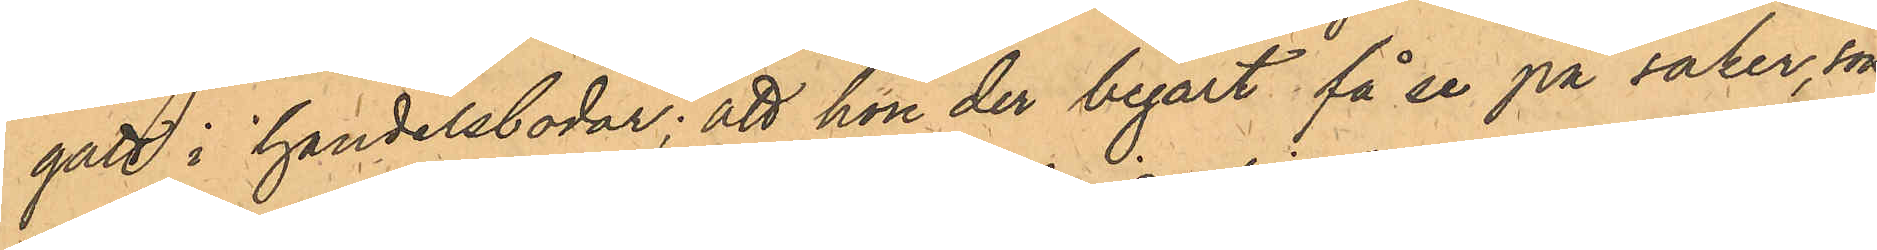gått i handelsbodar; att hon der begärt få se på saker, som
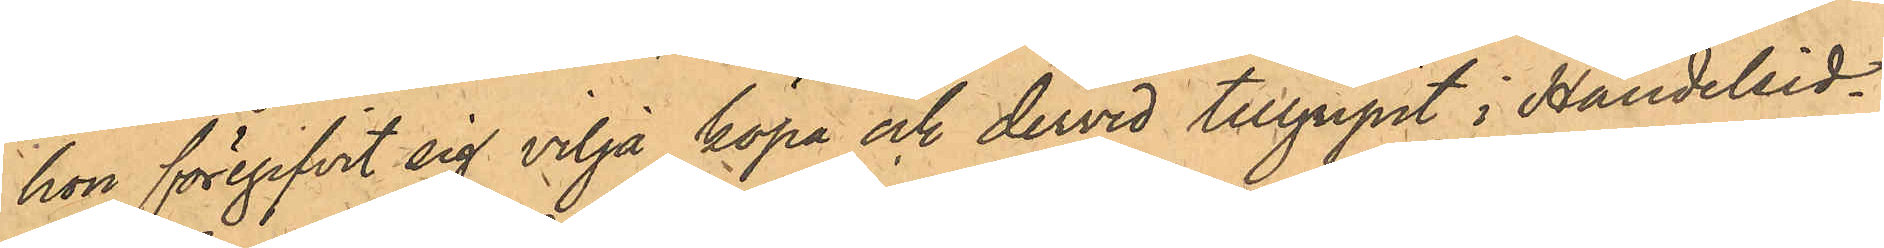hon föregifvit sig vilja köpa och dervid tillgripit i Handelsid¬
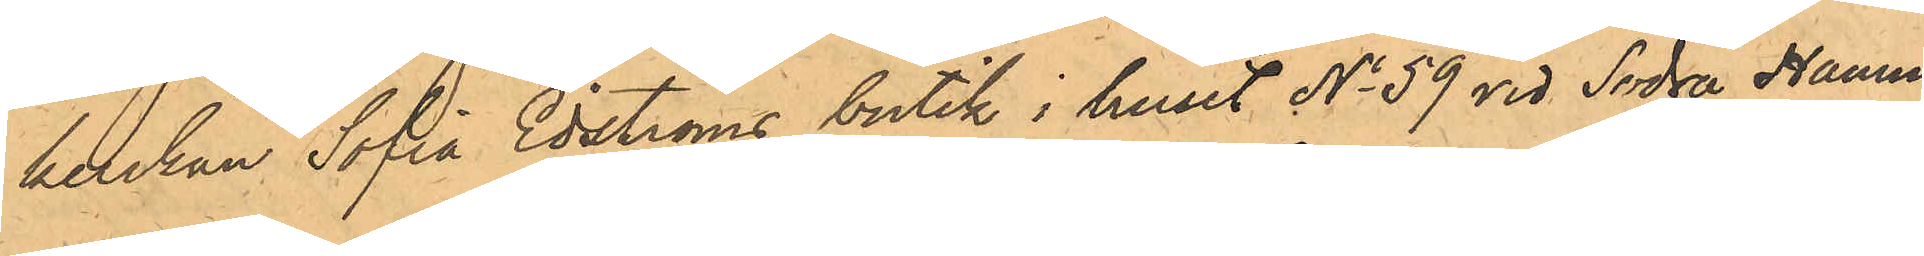kerskan Sofia Edströms butik i huset No 59 vid Södra Hamn¬
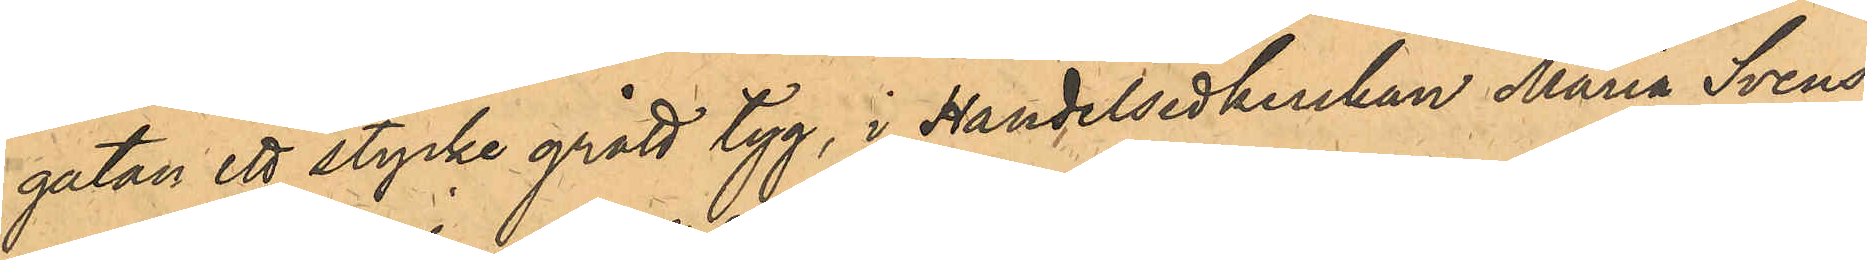gatan ett stycke grått tyg, i Handlerskan Maria Svens¬
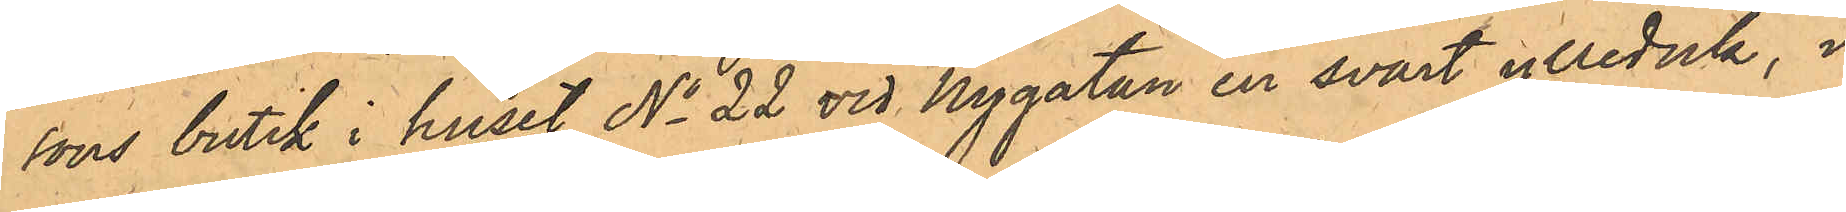sons butik i huset No 22 vid Nygatan en svart ylleduk, i
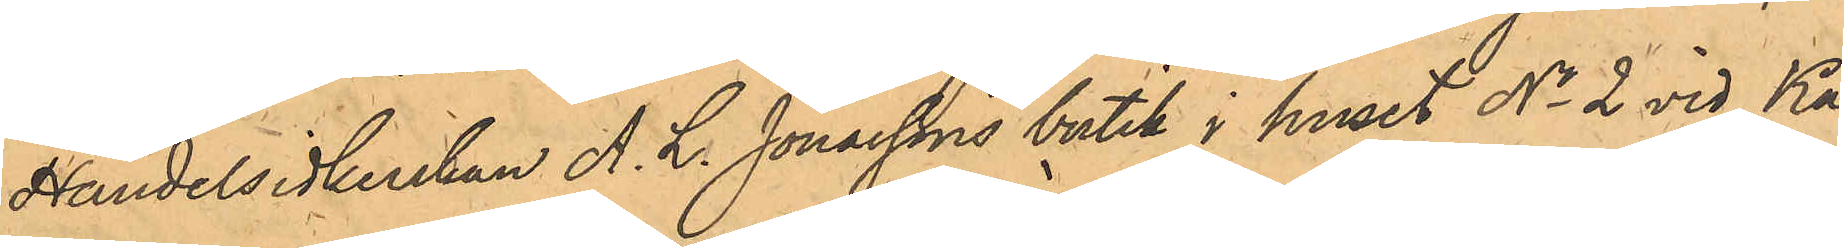Handelsidkerskan A. L. Jonassons butik i huset No 2 vid Ka¬
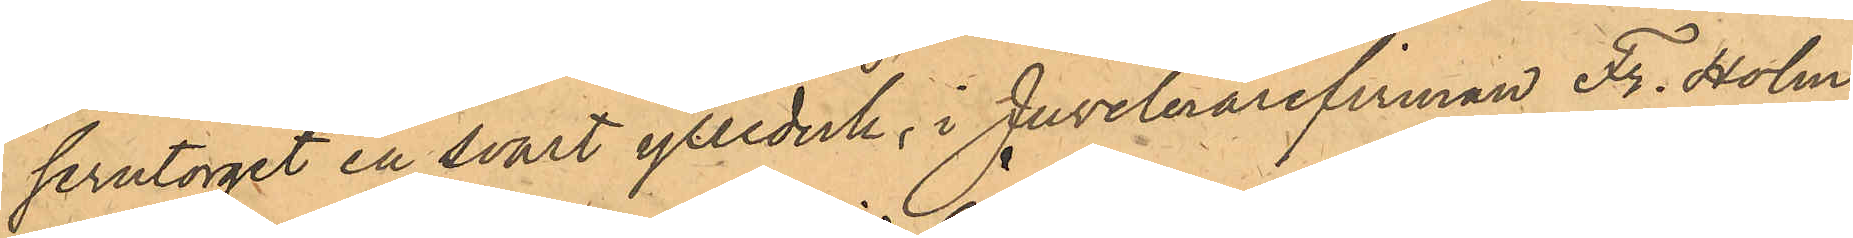serntorget en svart ylleduk, i Juvelerarefriman Fr. Holm
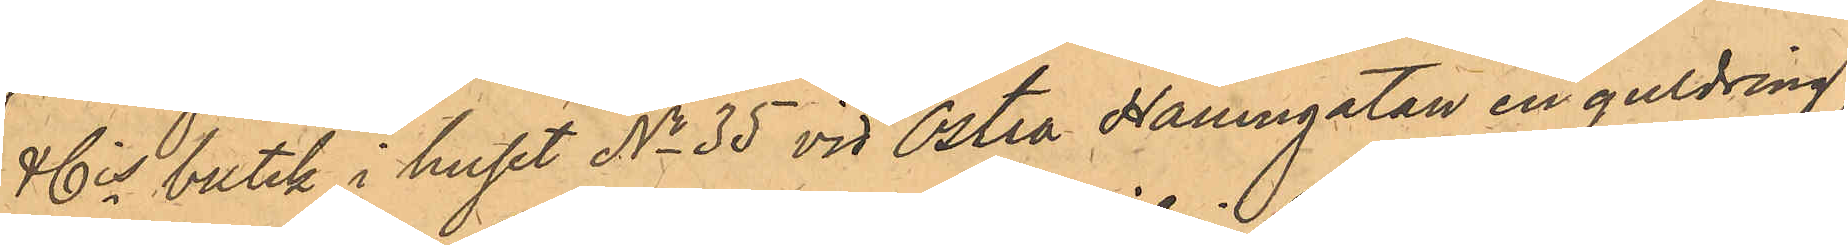& Cis butik i huset No 35 vid Östra Hamngatan en guldring,
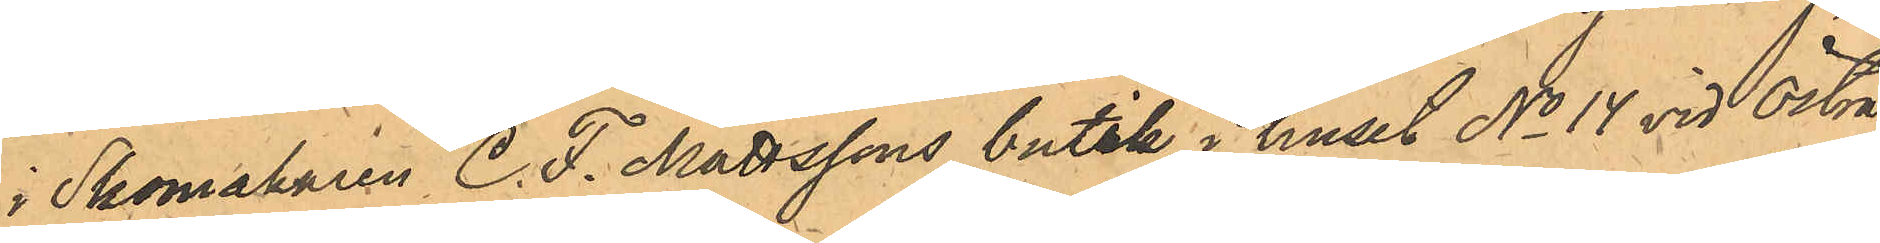i Skomakaren C. F. Mattssons butik i huset No 14 vid Östra
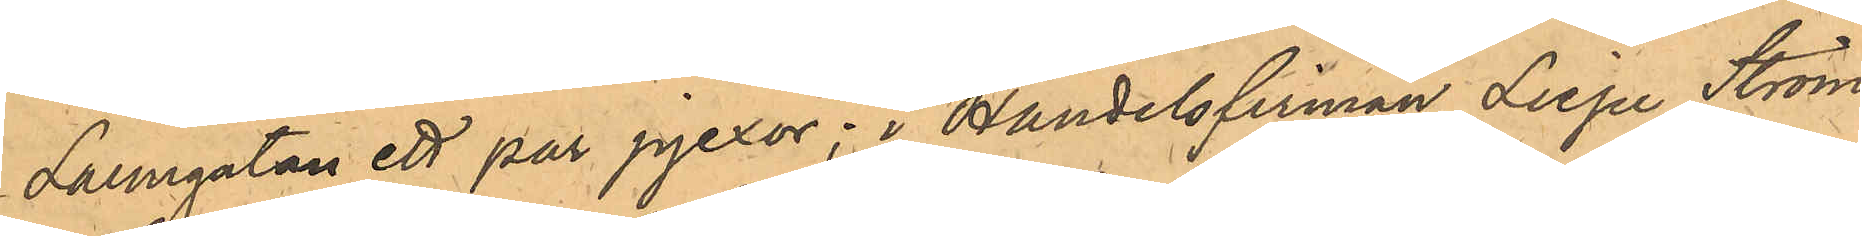Larmgatan ett par pjexor; i Handelsfirman Liepe, Ström
